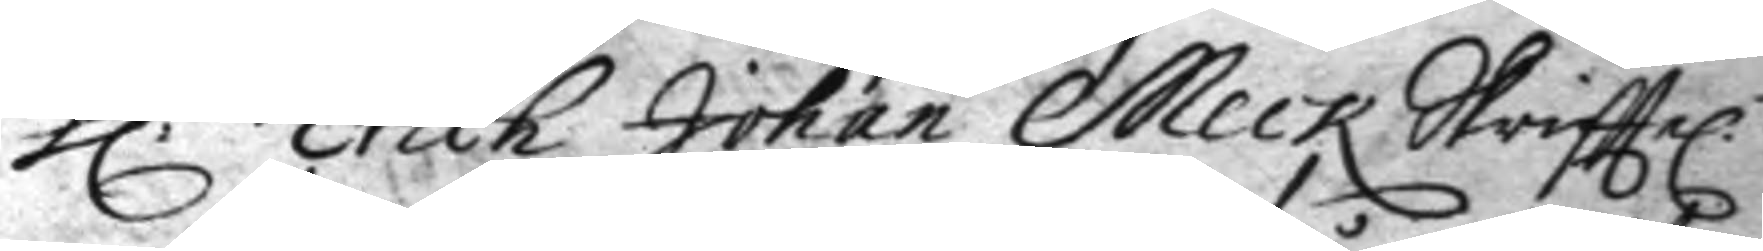h:r Erich Johan Meck Skrifttel.
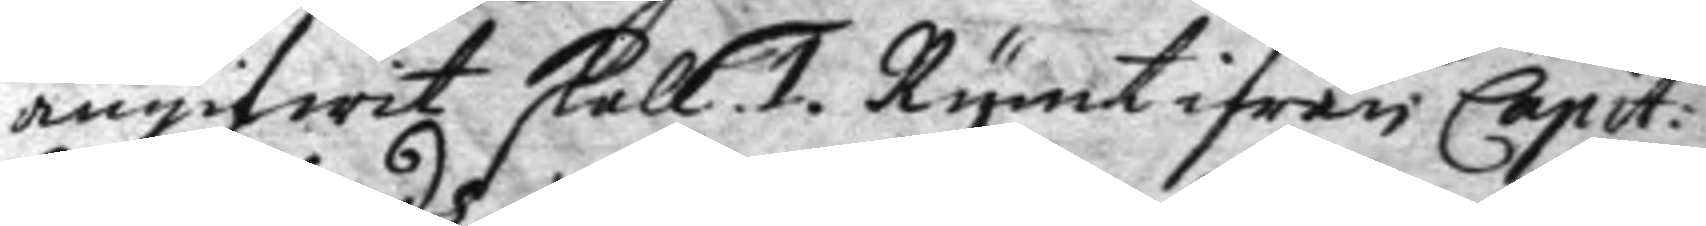angifwit skall. 1. Rymt ifrån Capit:
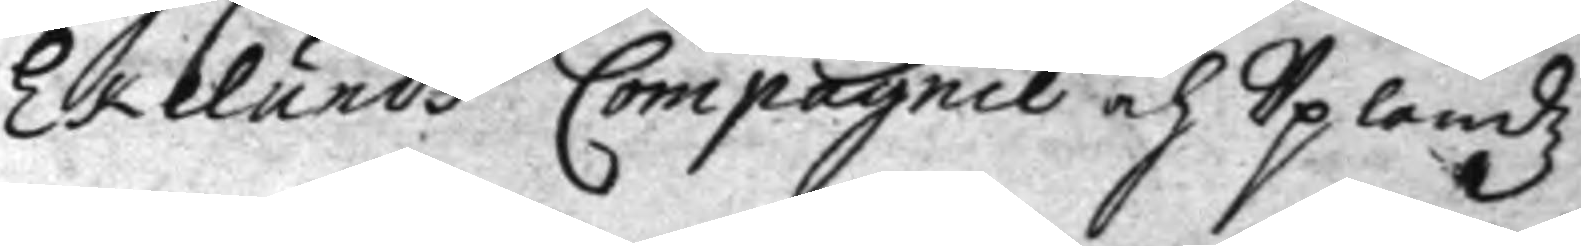Eklunds Compagnie och Uplandz
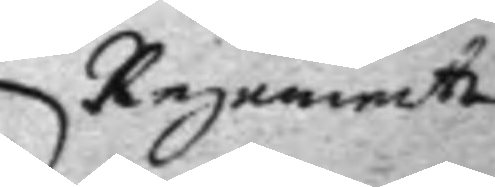Regemente
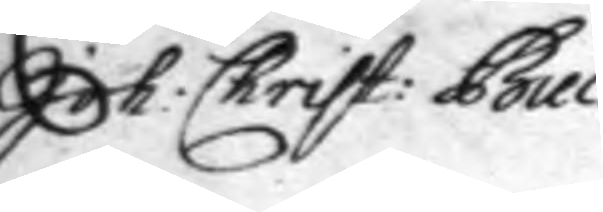Joh: Christ: Buck.
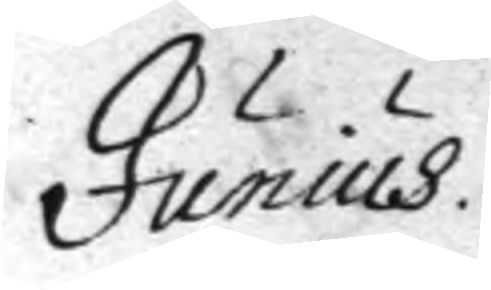Junius.
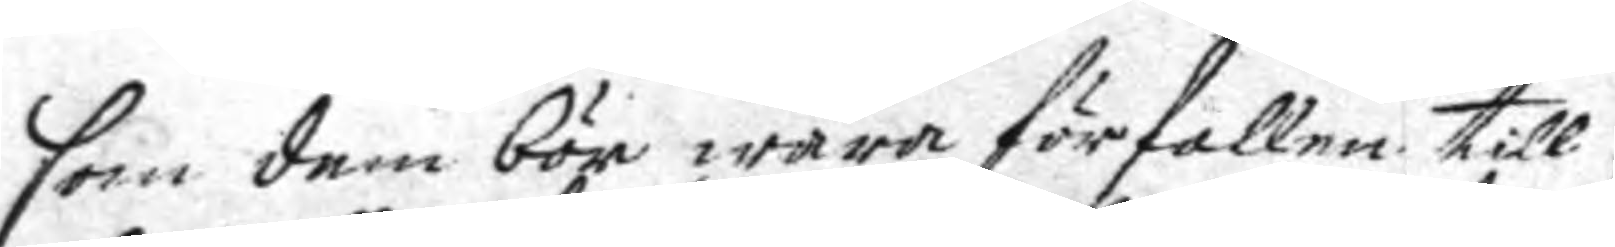som dem bör wara förfallen till
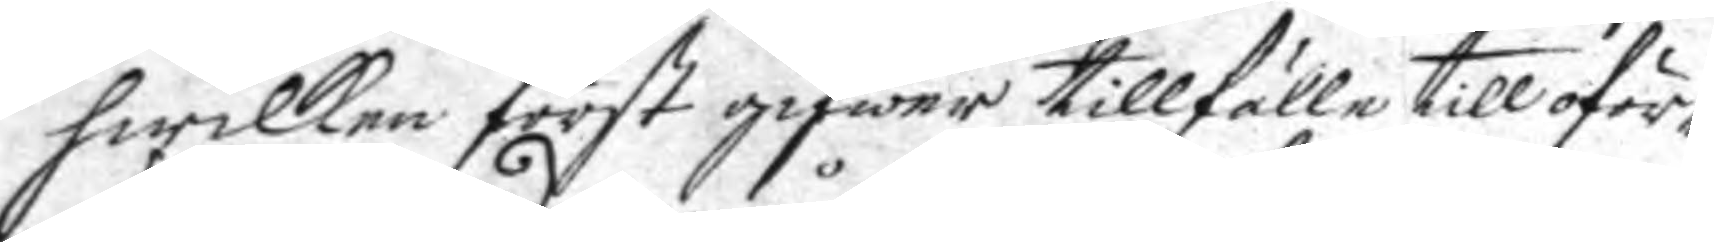hwilken först gifwer tillfälle till oför¬
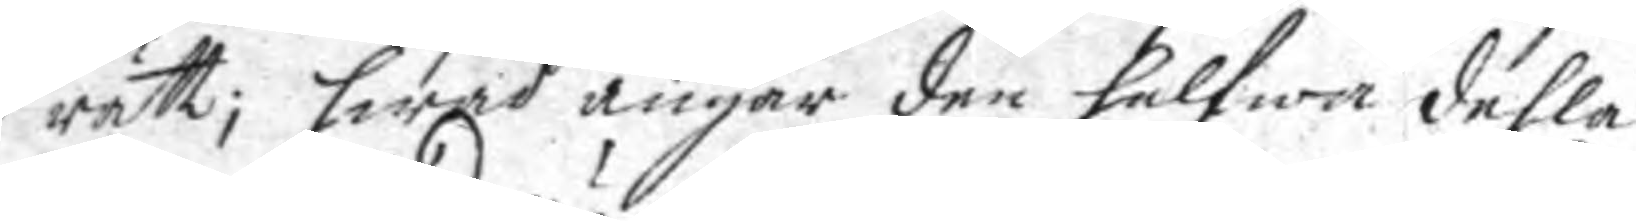rätt; hwad angår den halfwa dehla
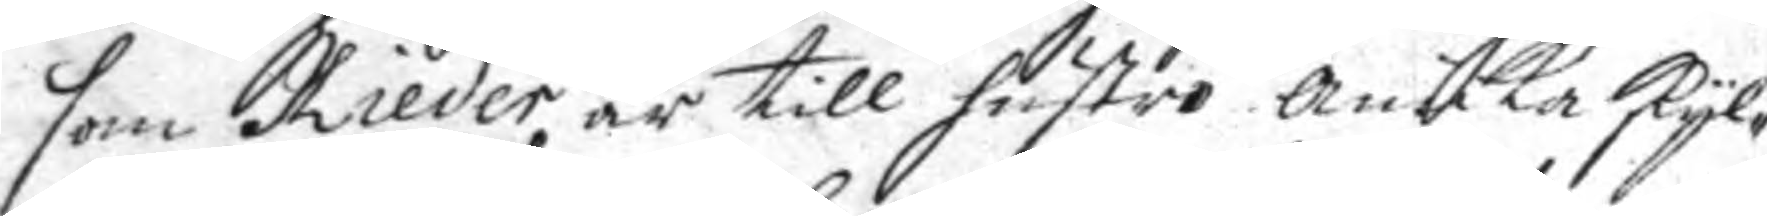som Kieder är till hustro Anicka skyl¬
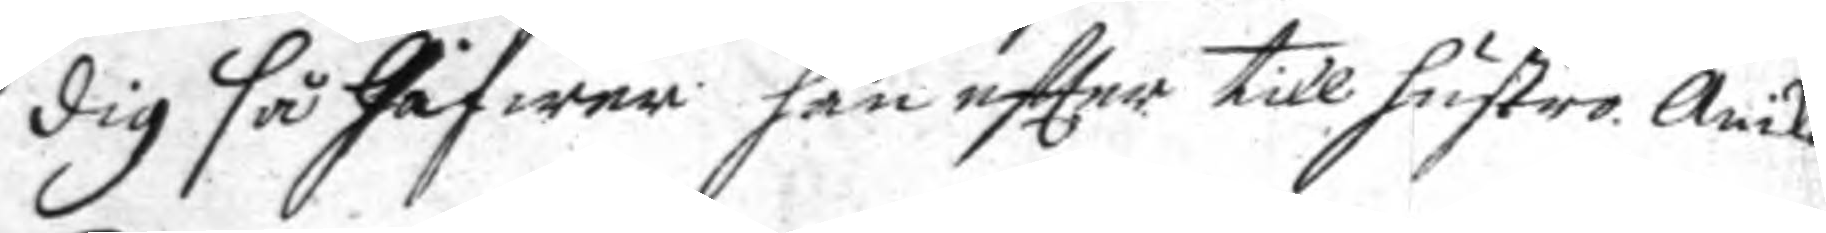dig så Gåfwer han eftter till hustro Anika.
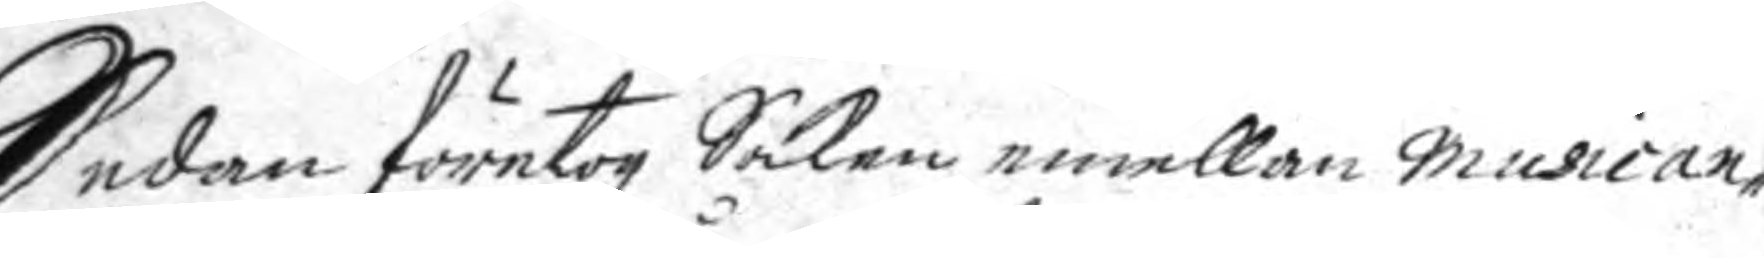Sedan företogz Saken emellan musican¬
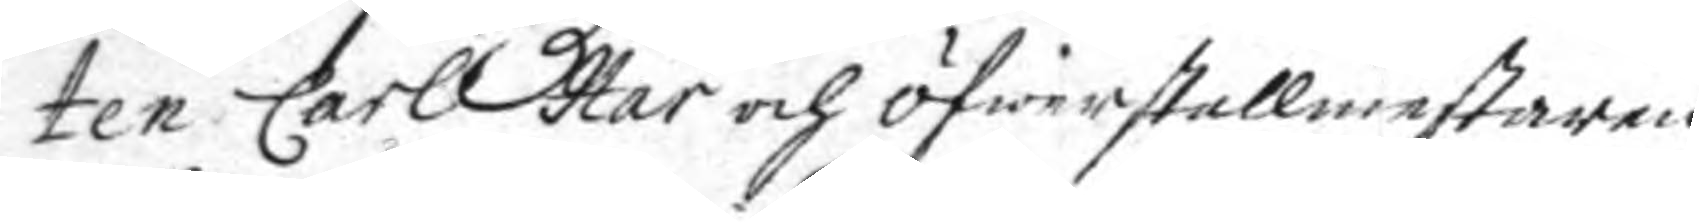ten Carl Hår och öfwerstallmestaren
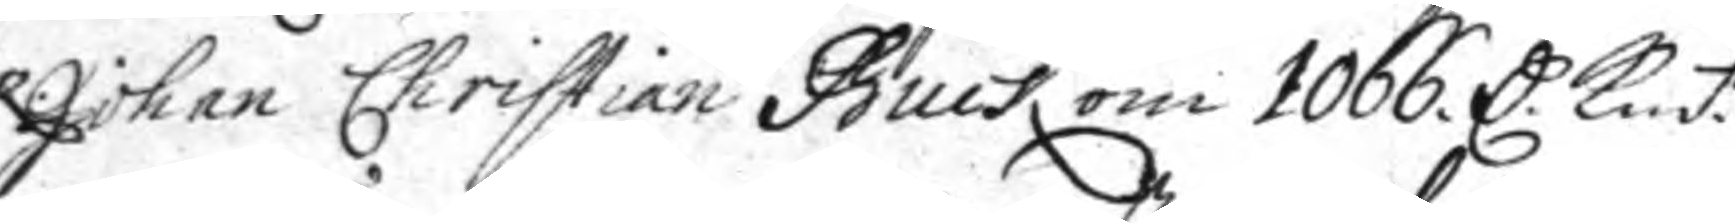Johan Christian Buck om 1066. C. Kmt.
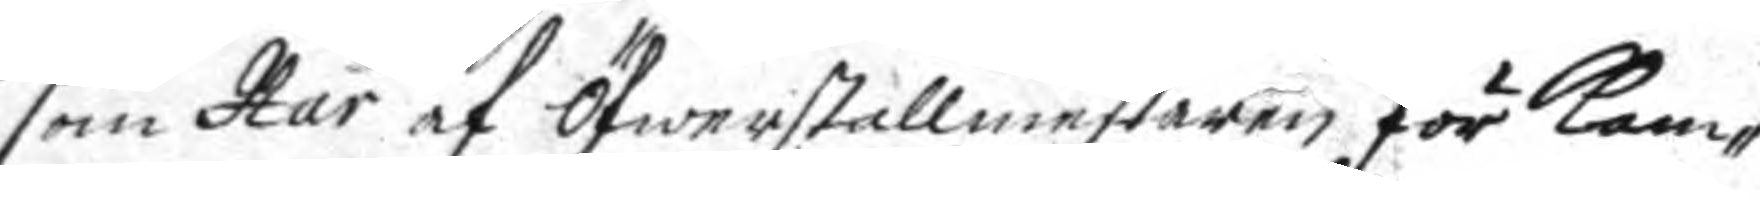som Hår af Öfwerstallmestaren för kam¬
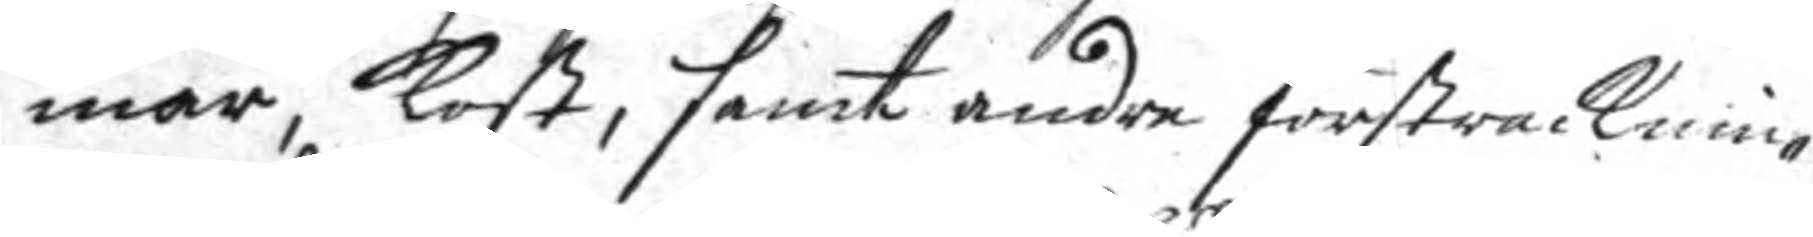mar, kost, samt andre försträcknin¬
